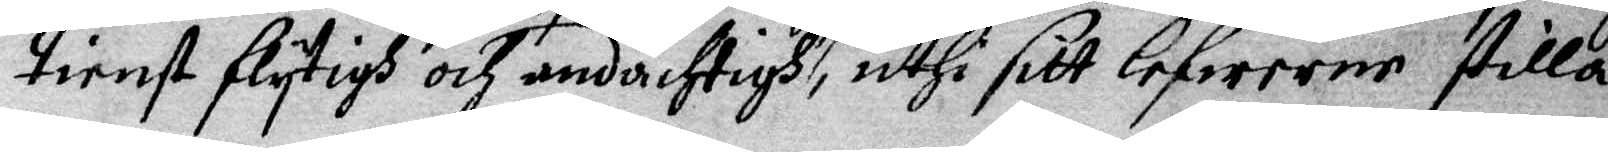tienst flytigh och andächtigh, uthi sitt lefwerne stilla
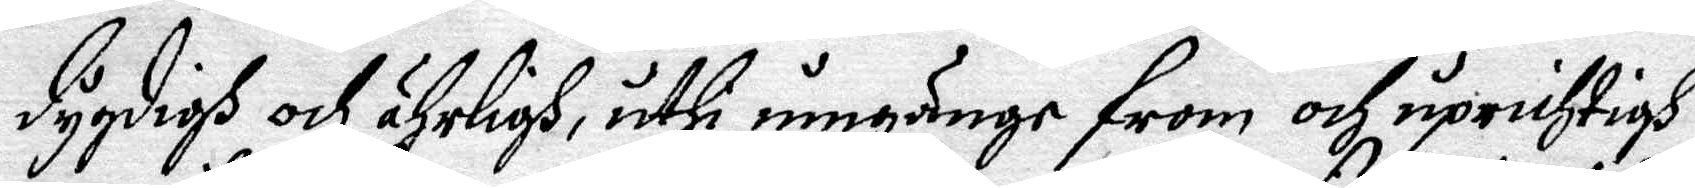Dygdigh och ährligh, uthi umgänge from och uprichtigh
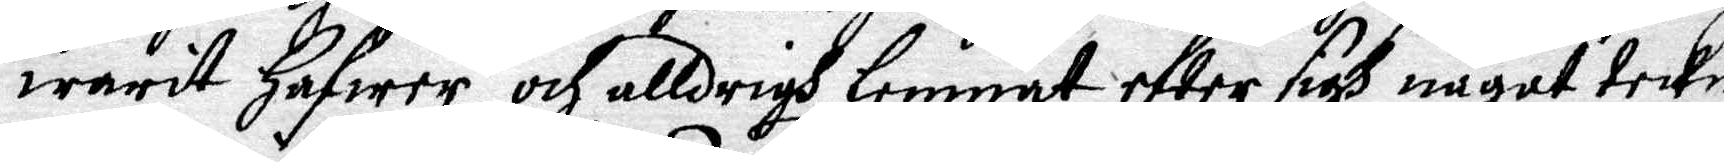warit Hafwer och alldrigh lemnat efter sigh något teckn
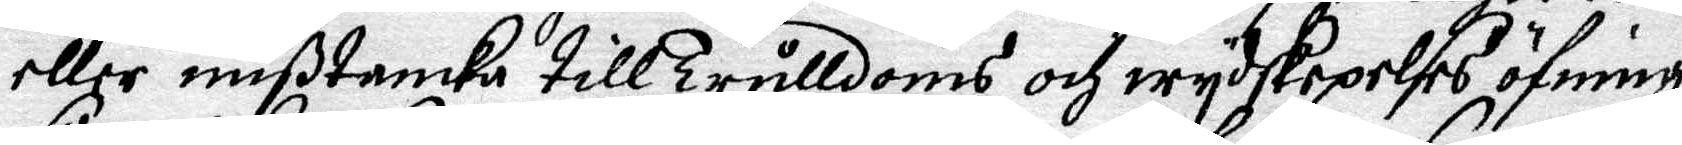eller mißtanka till trulldoms och wydskepelses öfning,
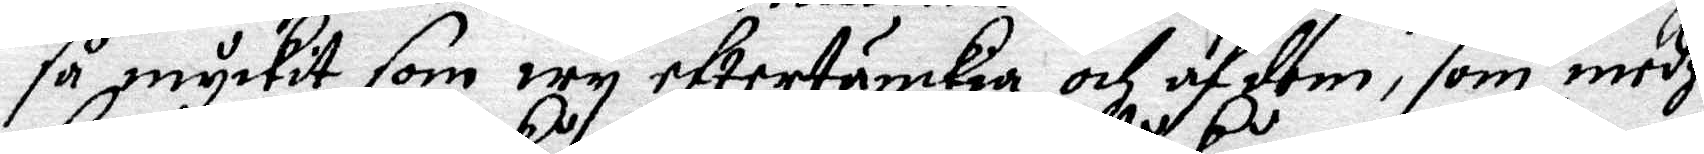så myckit som wy eftertänkia och af dem, som medh
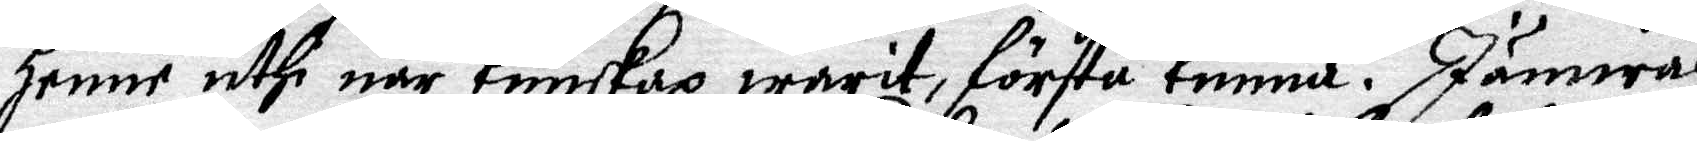Henne uthi när Kunskap warit, förstå kunna. Jämwäl
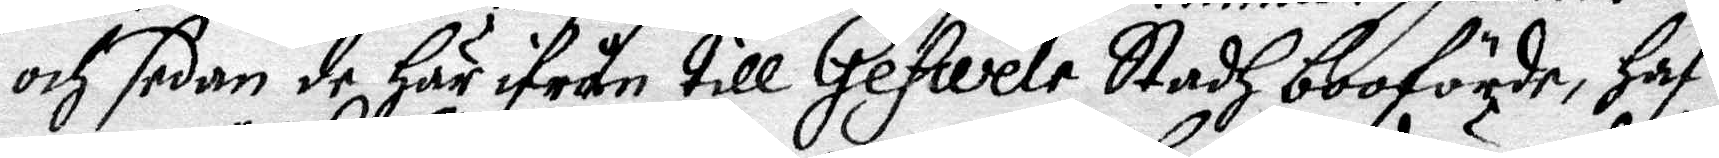och sedan de Här ifrån till Gefwele Stadh booförda, Haf¬
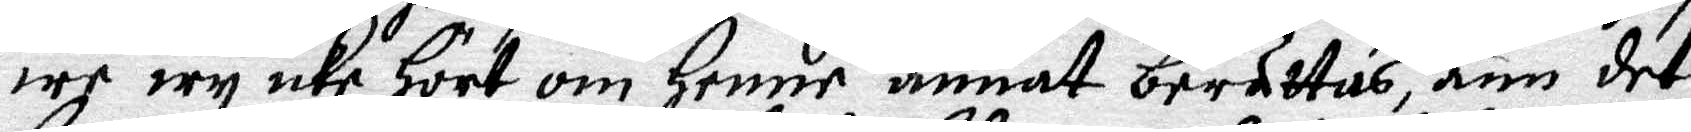we wy icke Hört om Henne annat berättas änn det
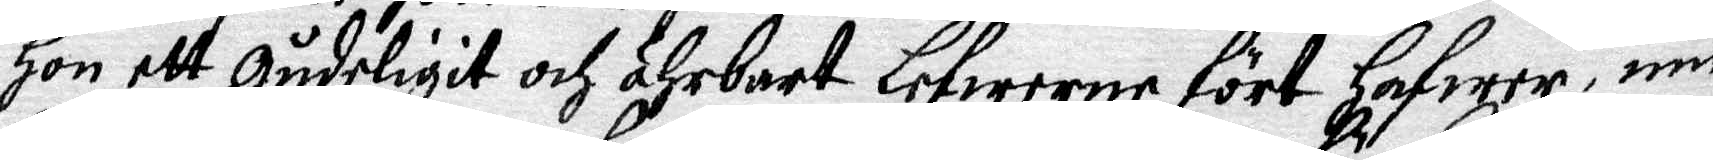Hon ett Gudeligit och Ährbart Lefwerne fört Hafwer, inn
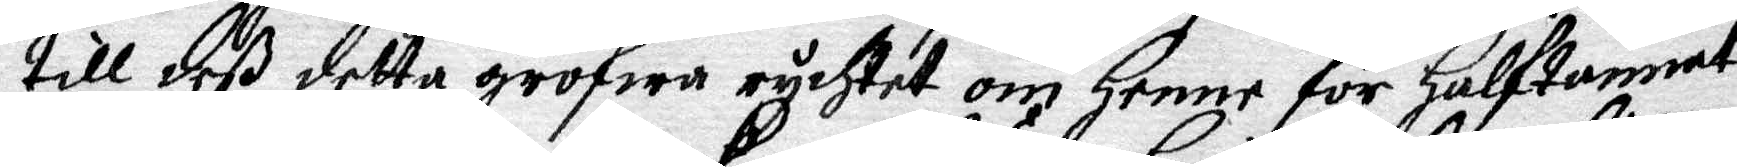till deß detta grofwa rychtet om Henne för Halftannat
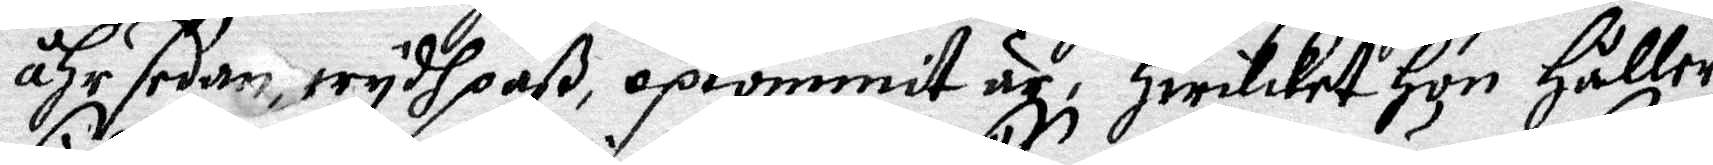åhr sedan, wydh paß, opkommit är, Hwilcket Hon Håller
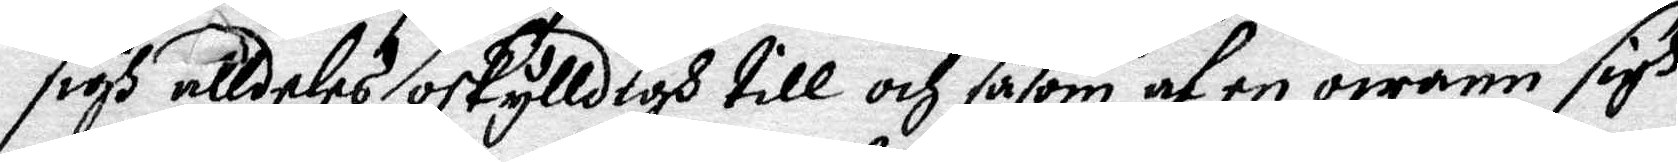sigh alldeles oskylldigh till och såsom af en owänn sigh
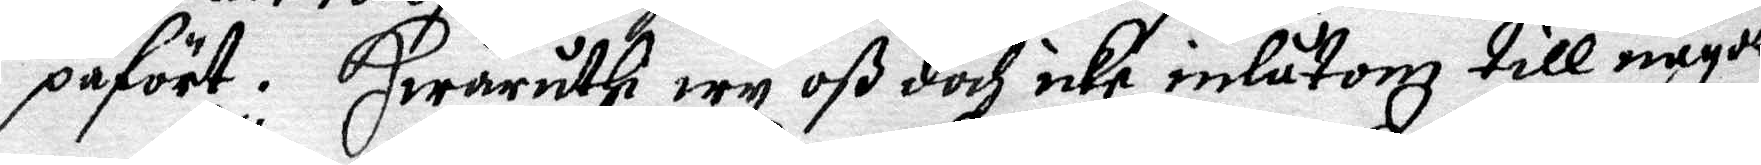påfört. Hwaruthi wy oß doch icke inlåtom till något 
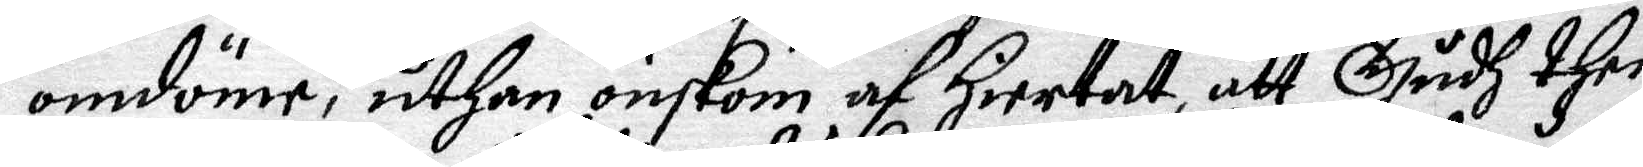omdöme, uthan önskom af Hiertat, att Gudh then
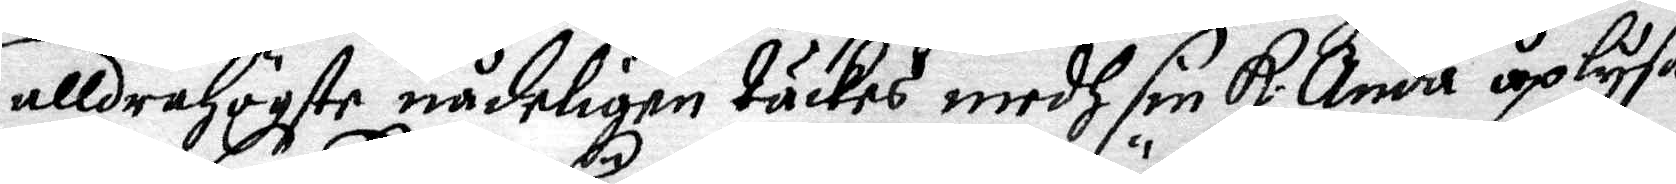alldrahögste nådeligen täckes medh sin K: Anda uplysa
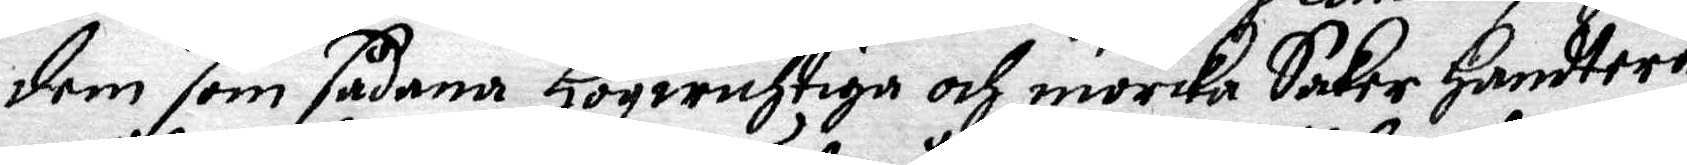dem som sådana Högwichtiga och mörcka Saker Handtera
